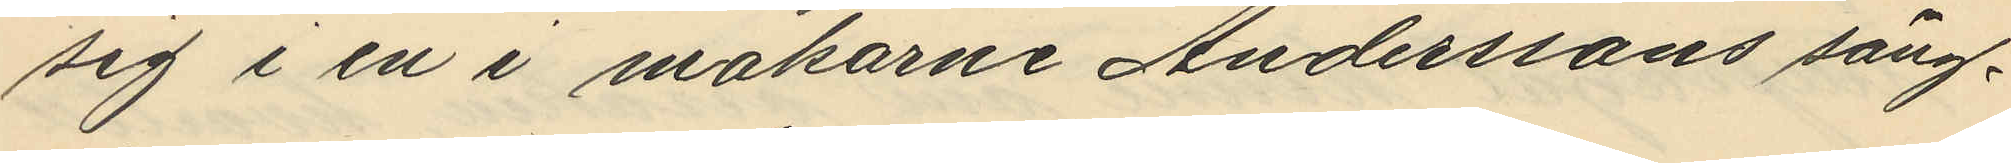sig i en i makarne Anderssons säng¬
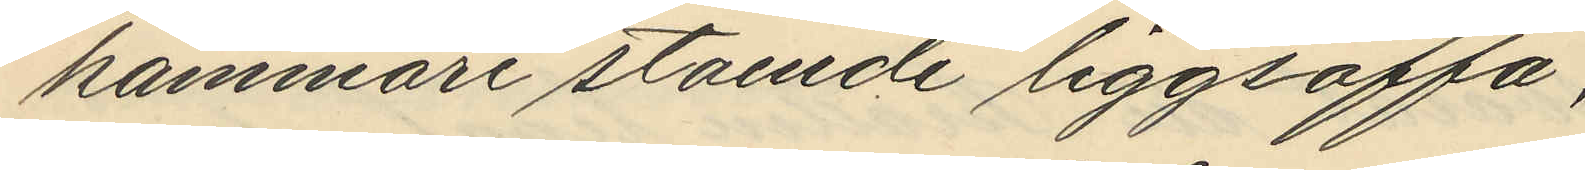kammare stående liggsoffa,
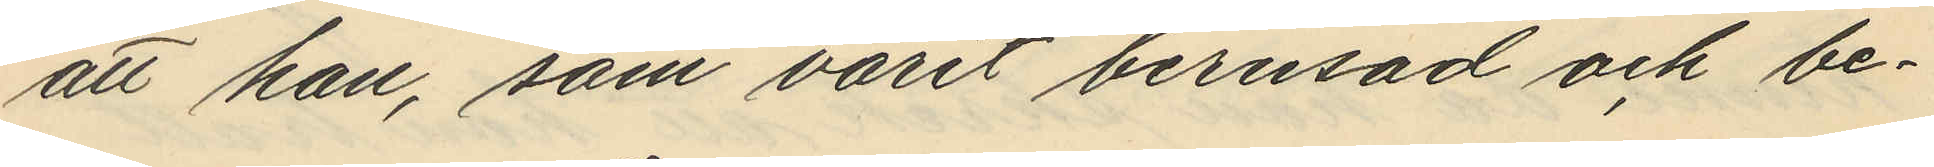att han, som varit berusad och be¬
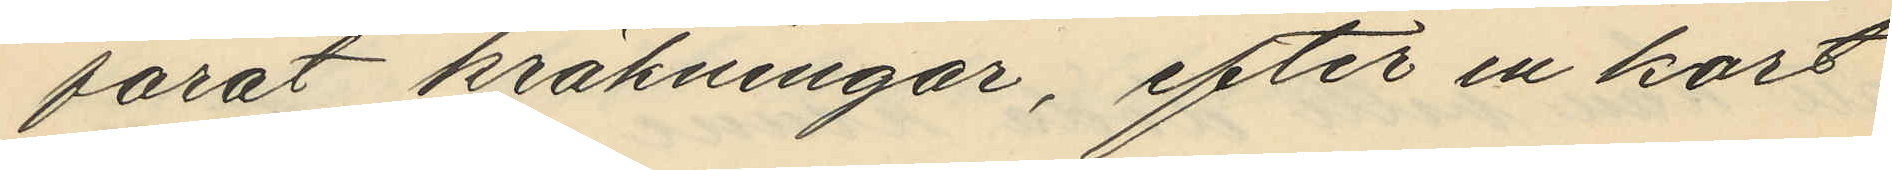farat kräkningar, efter en kort
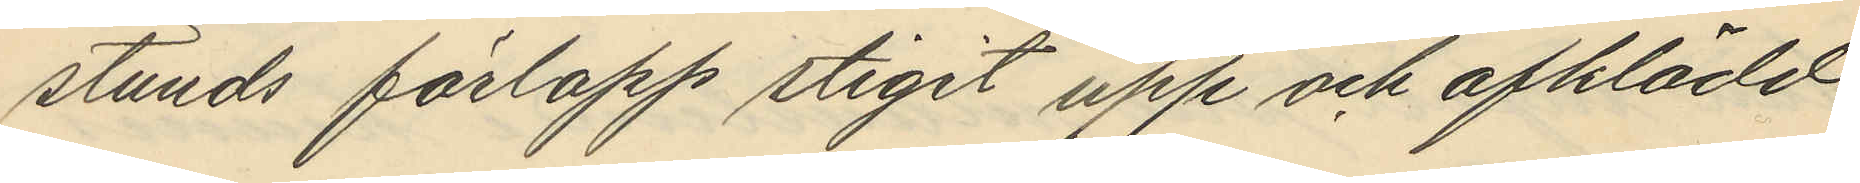stunds förlopp stigit upp och afklädd
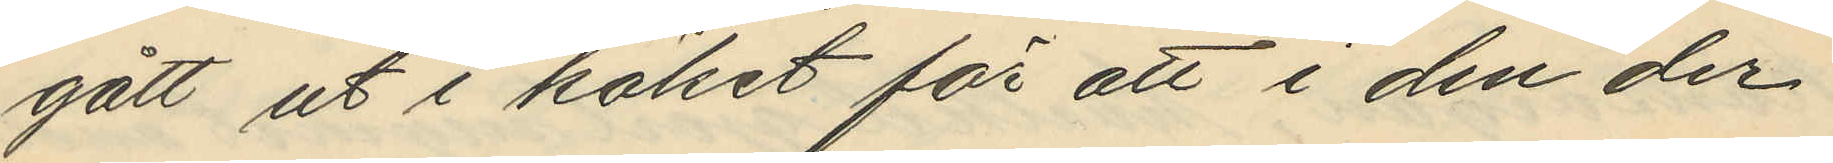gått ut i köket för att i den der
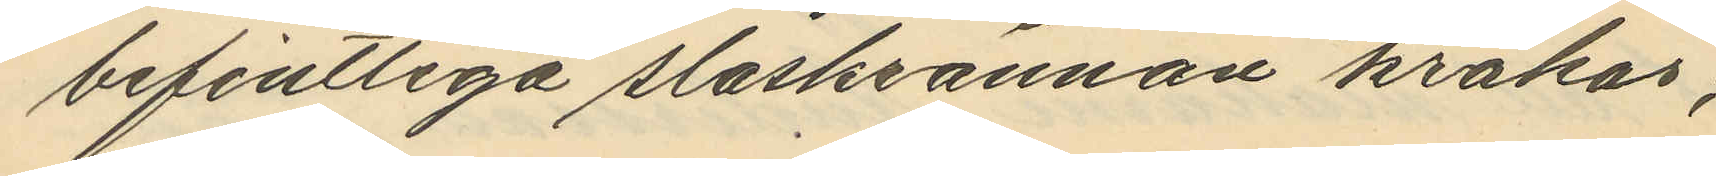befintliga slaskrännan kräkas,
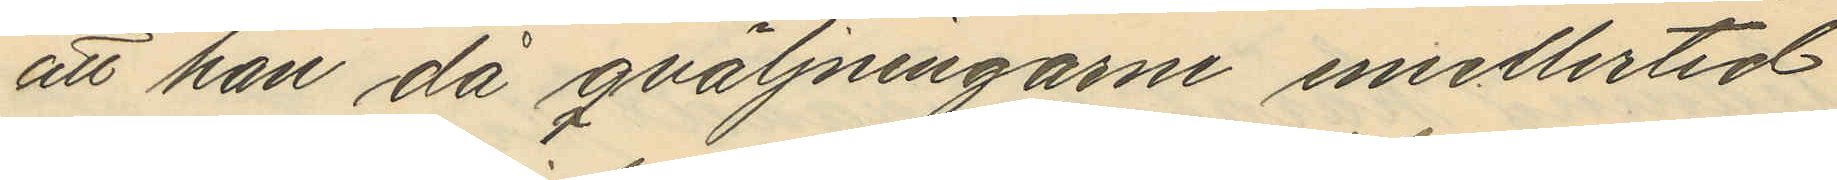att han då qväljningarne emellertid
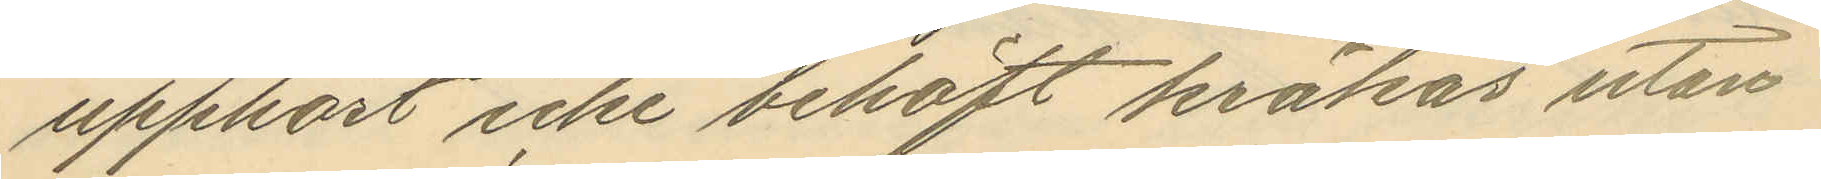upphört icke behöft kräkas utan
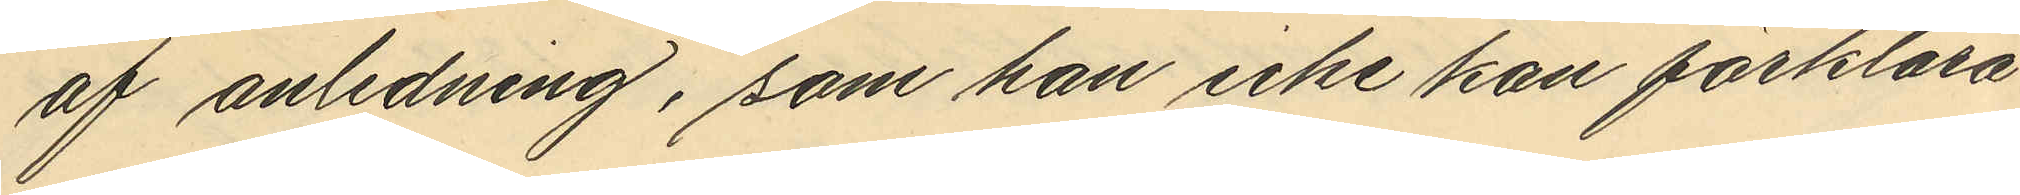af anledning, som han icke kan förklara
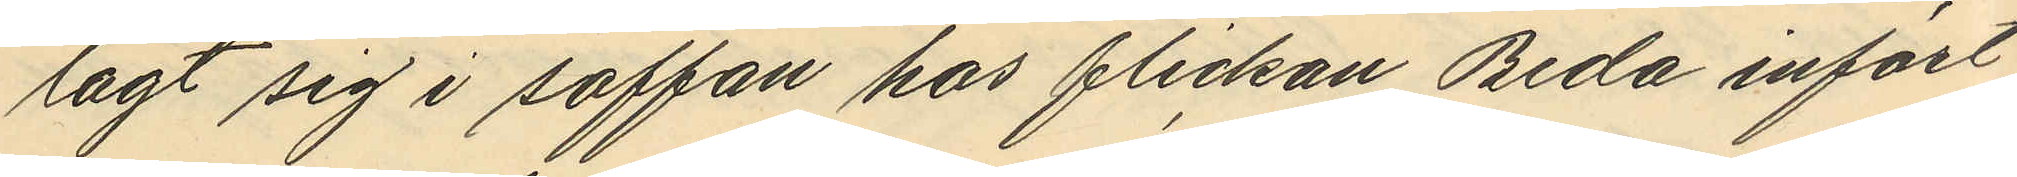lagt sig i soffan hos flickan Beda infört
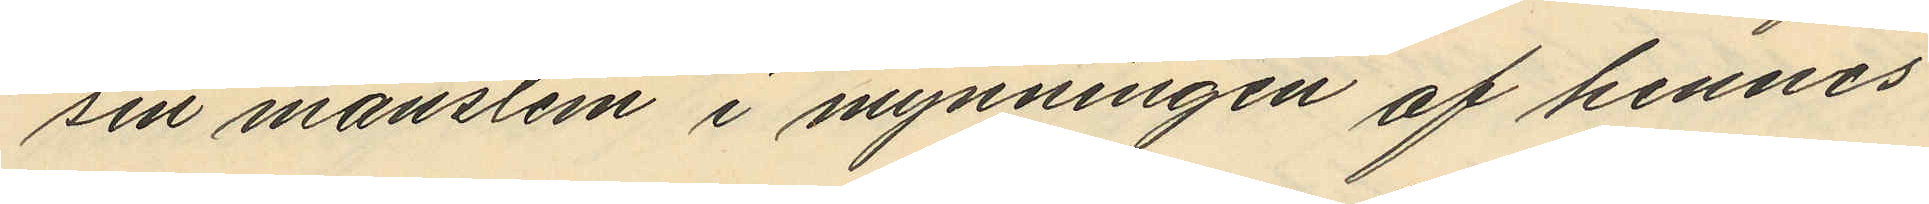sin manslem i mynningen af hennes
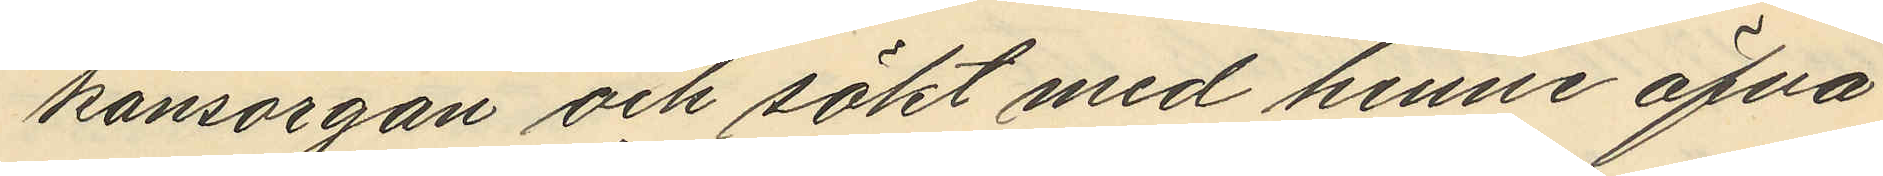könsorgan och sökt med henne öfva
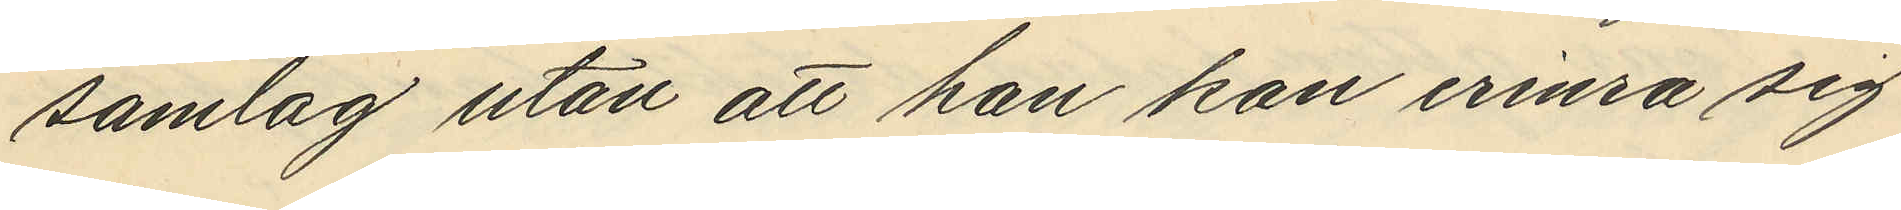samlag utan att han kan erinra sig
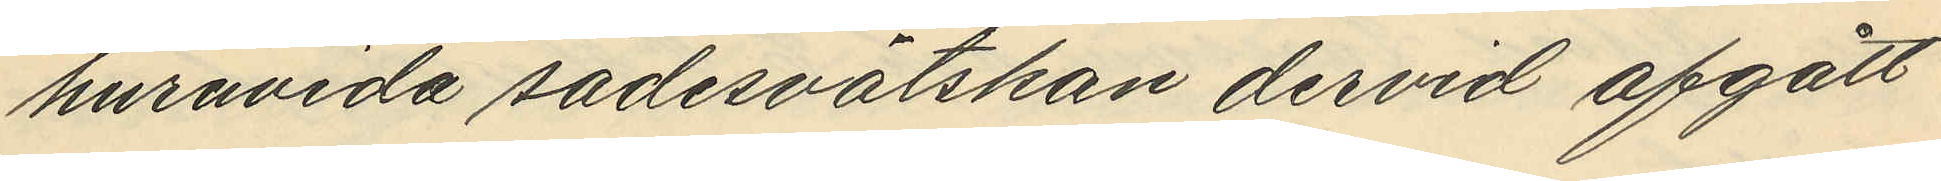huruvida sädervälskan dervid afgått
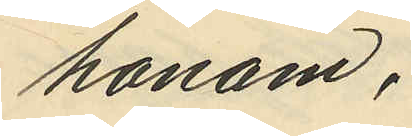honom;
